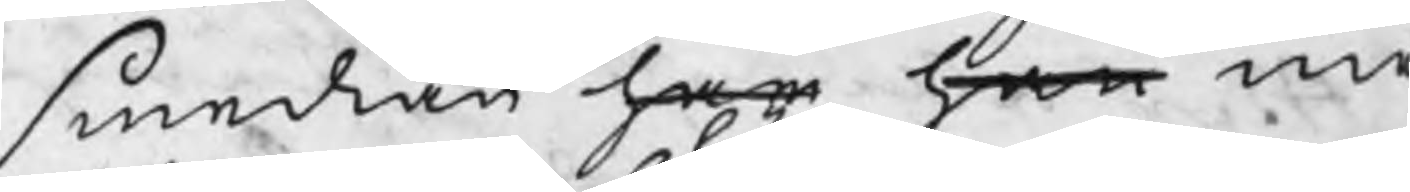smedian har han me
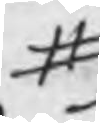#
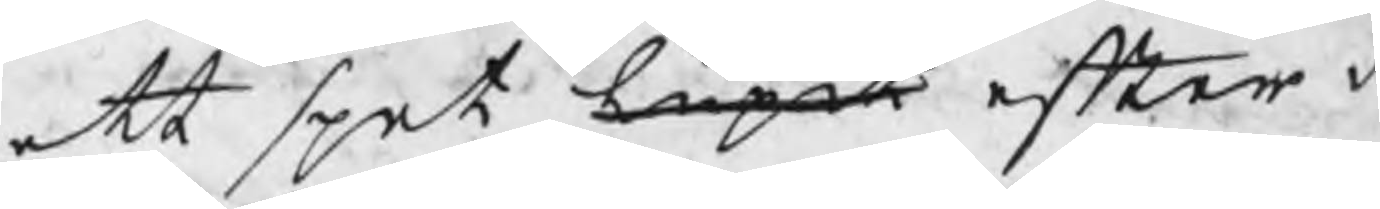ett spet lupit efter a
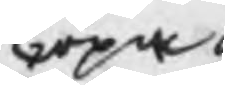löpa
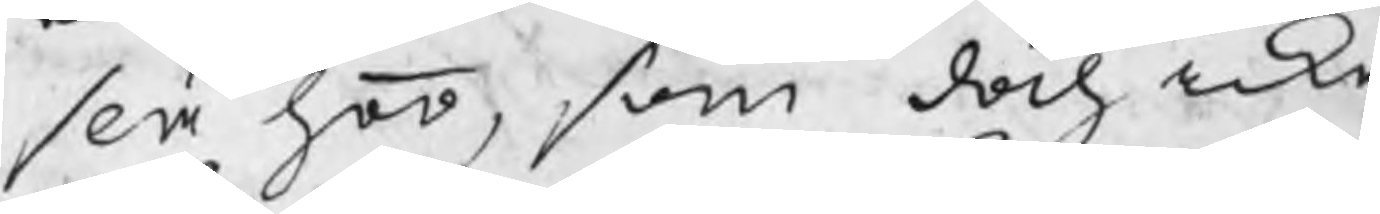slå hoo, som doch icke
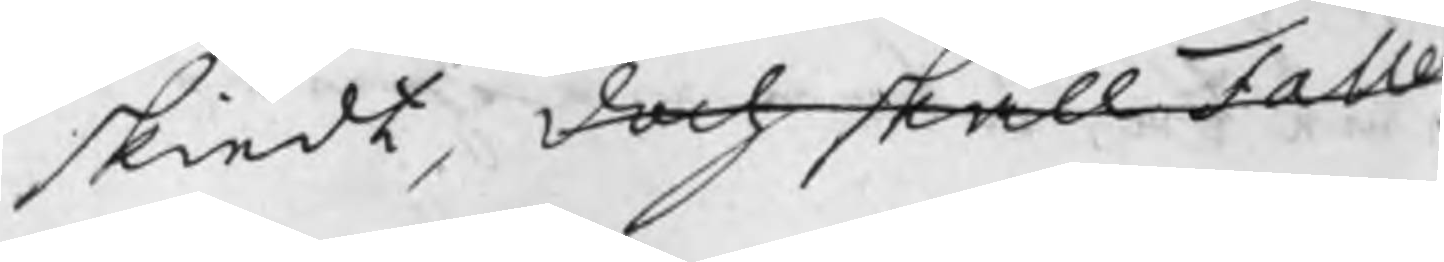skiedt, doch skall Falle
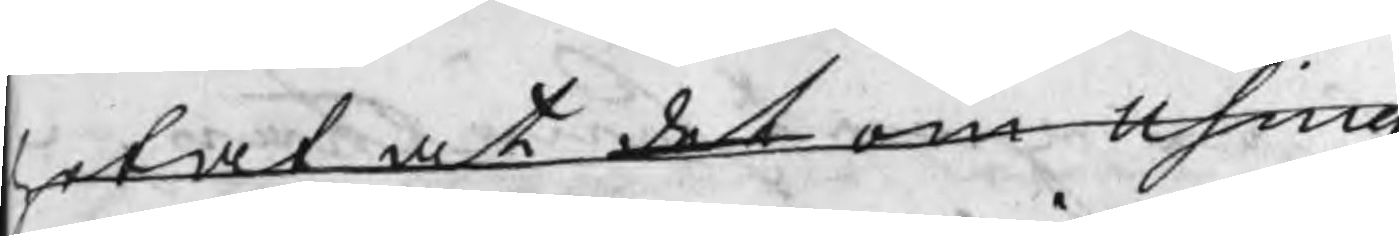hotat at det om Using
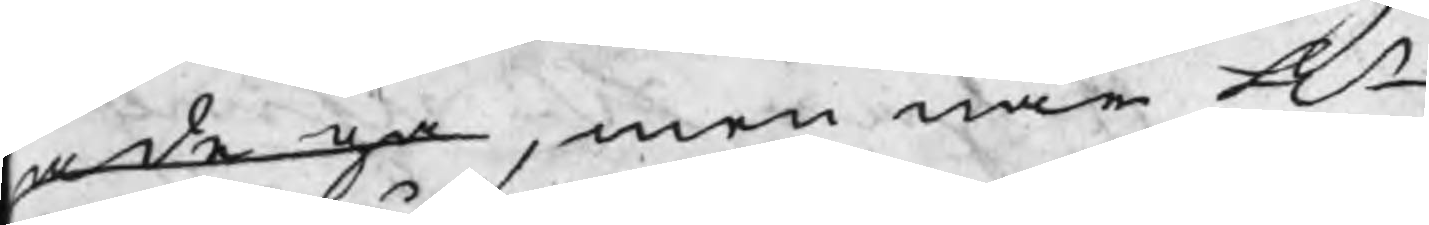hade ga, men när Hr
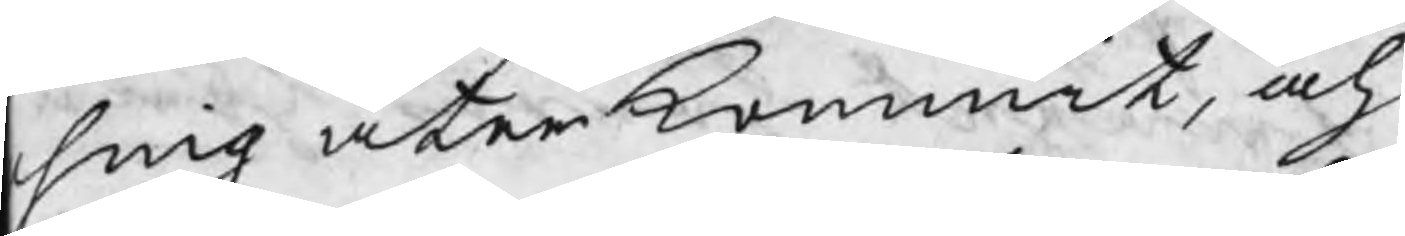sing återkommit, och 
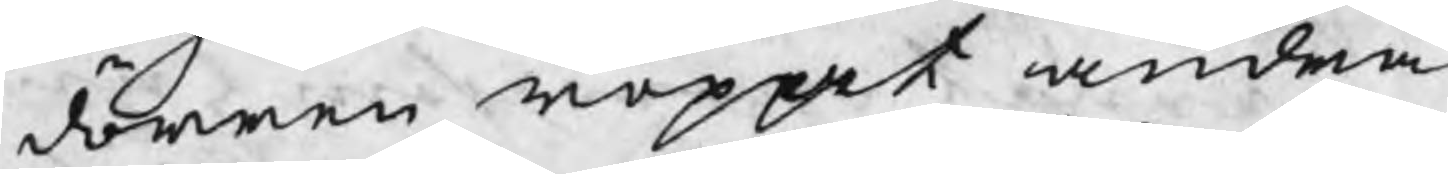i dörren roppat andra
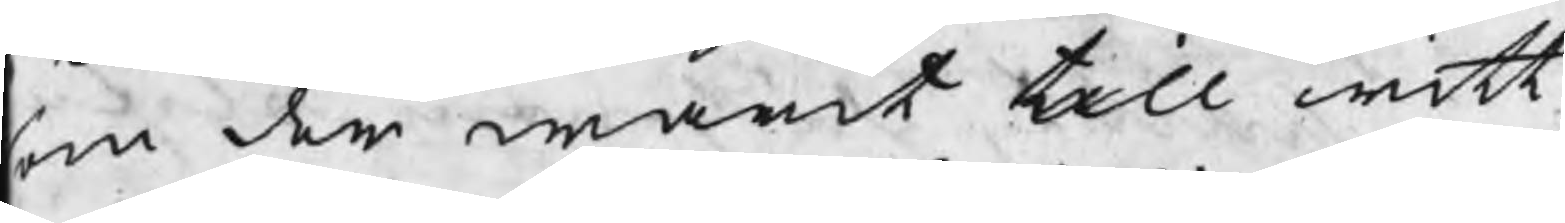som der warit till witt¬
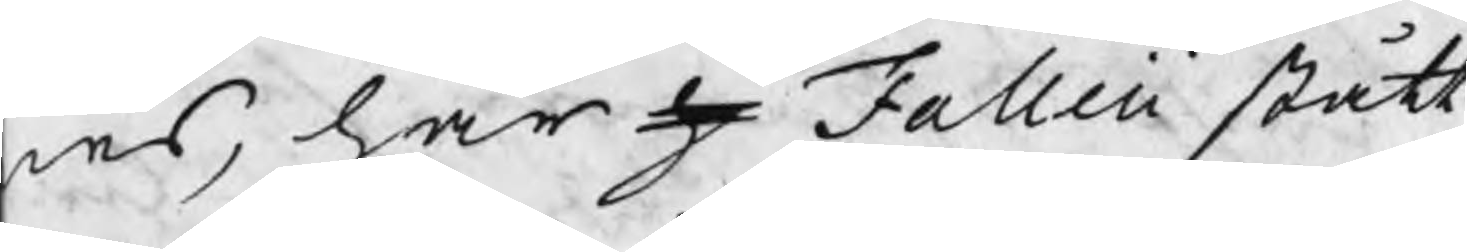nes, har h Falleii stått
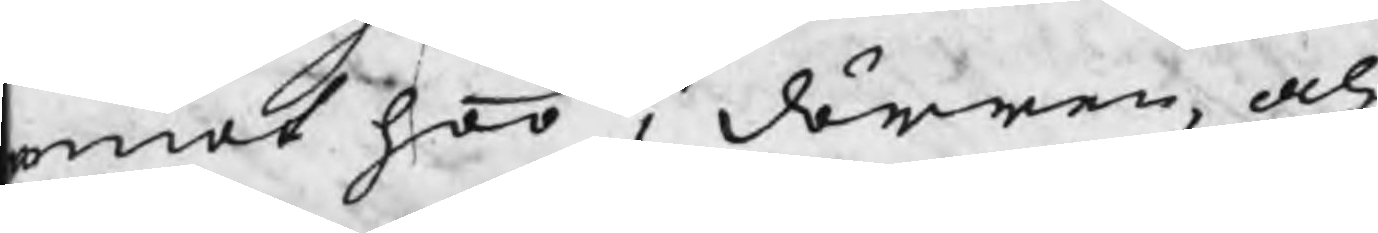emot hoo i dörren, och
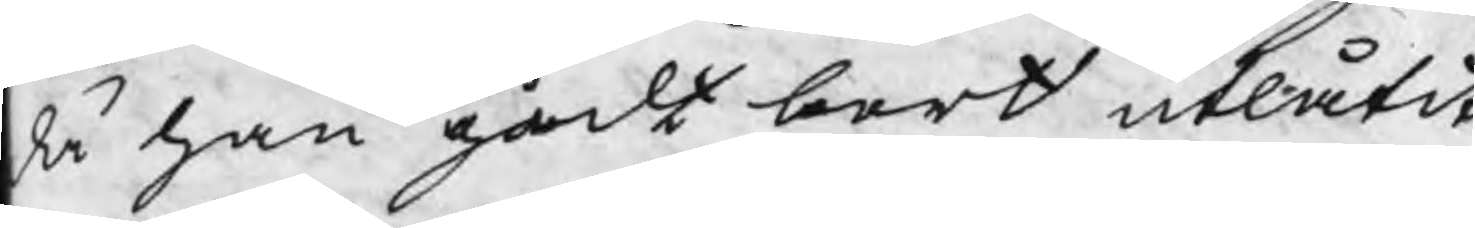då han gådt bort utlåtit
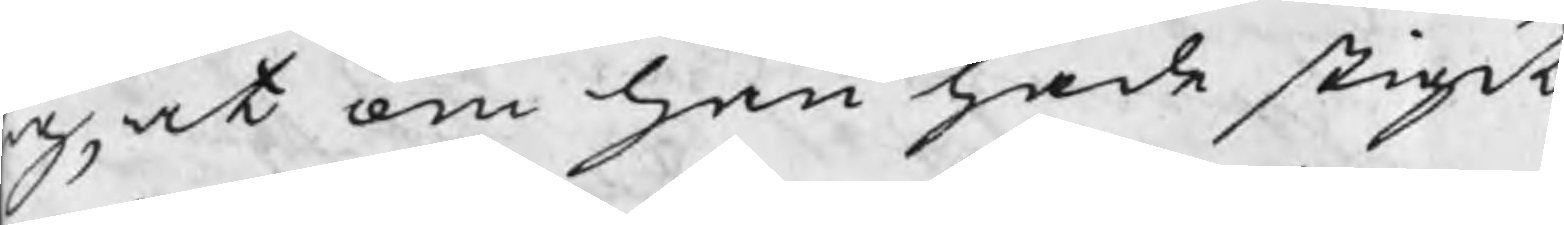ig, at om han hade stigit
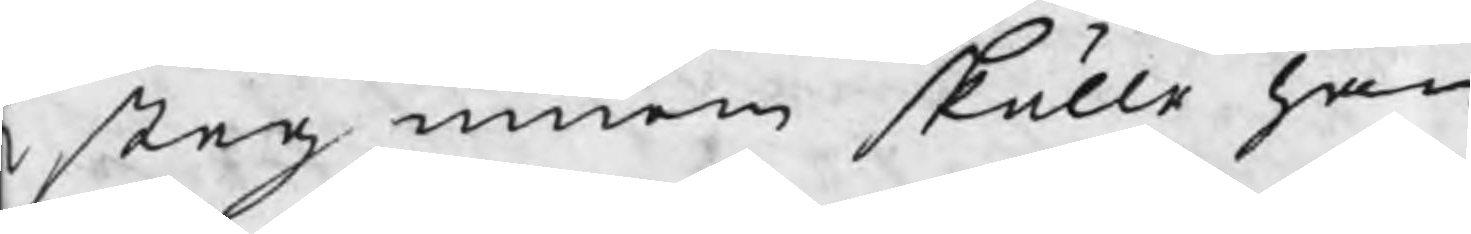t steg innom skulle han
